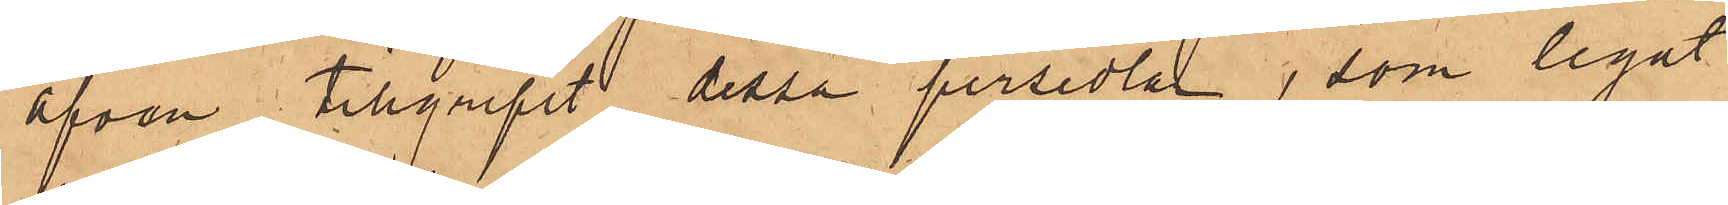äfven tillgripit dessa persedlar, som legat
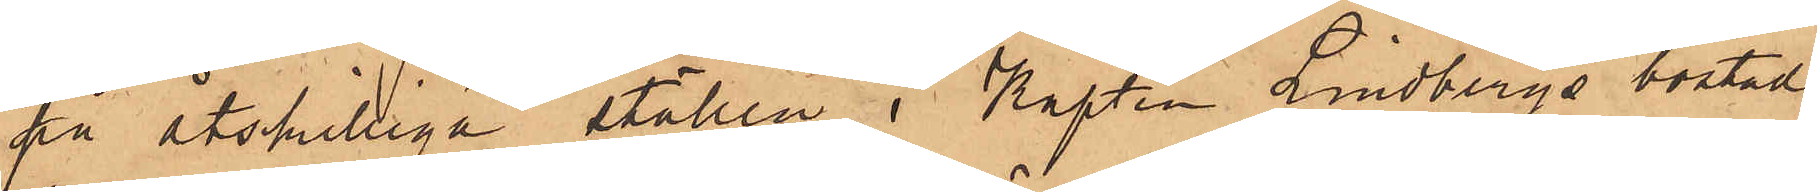på åtskilliga ställen i Kapten Lindbergs bostad,
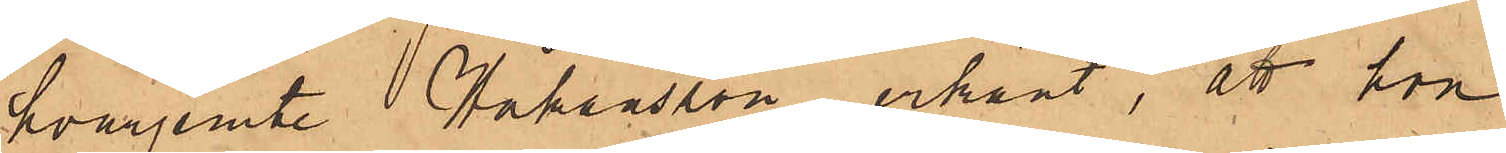hvarjemte Håkansson erkänt, att hon
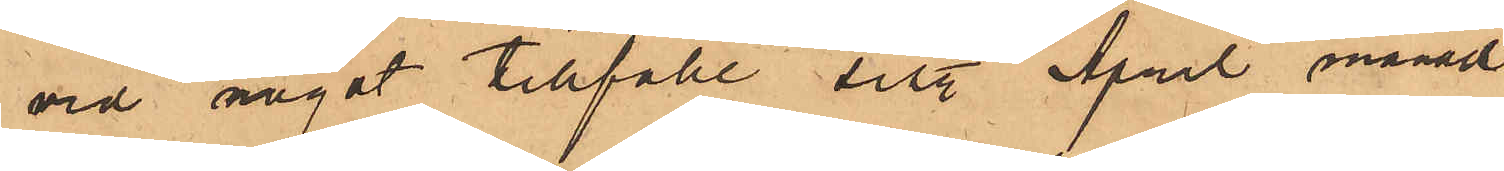vid något tillfälle sist. April månad
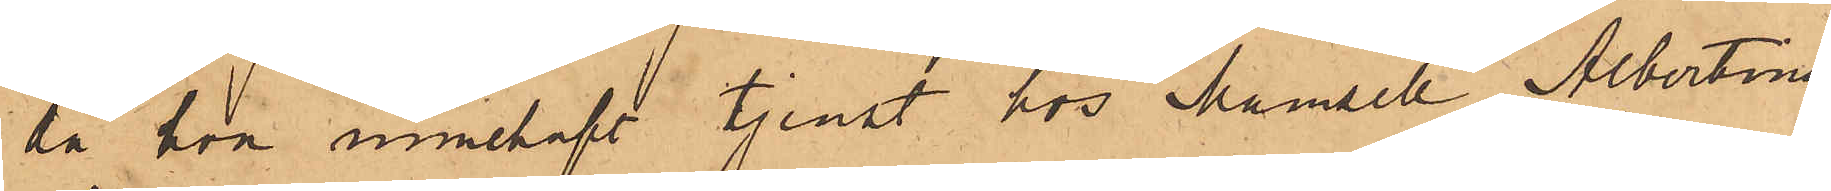då hon innehaft tjenst hos Mamsell Albertina
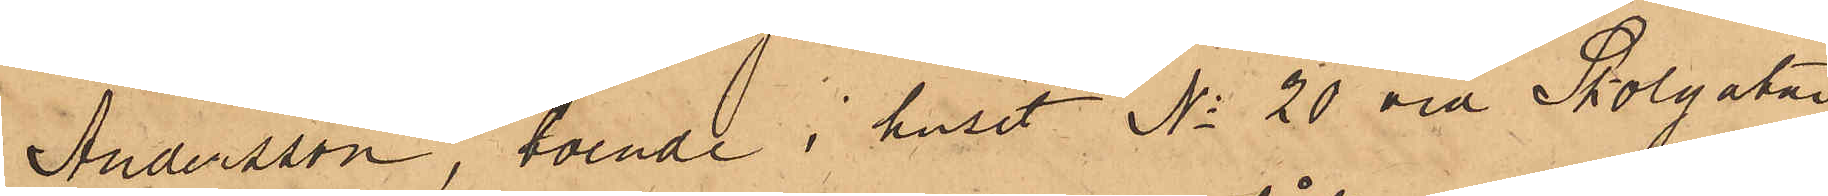Andersson, boende i huset No 20 vid Skolgatan,
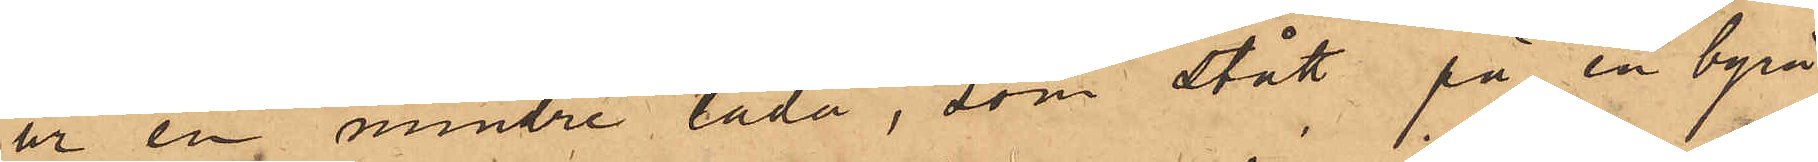ur en mindre låda, som stått på en byrå
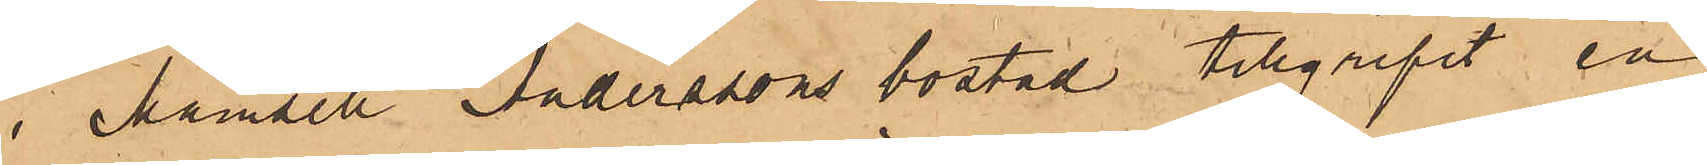i Mamsell Anderssons bostad tillgripit en
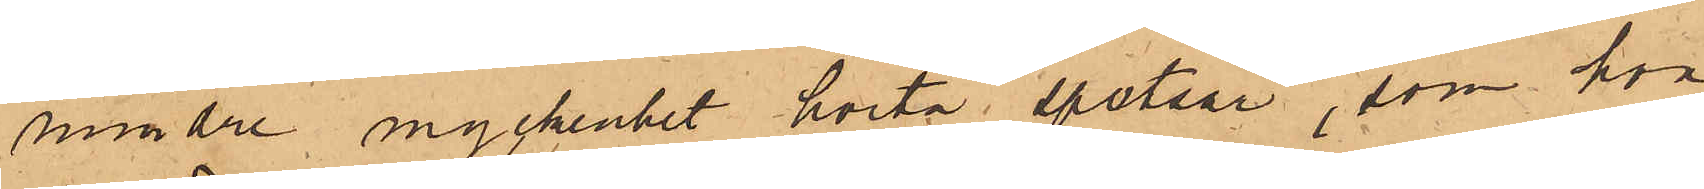mindre myckenhet hvita spetsar, som hon
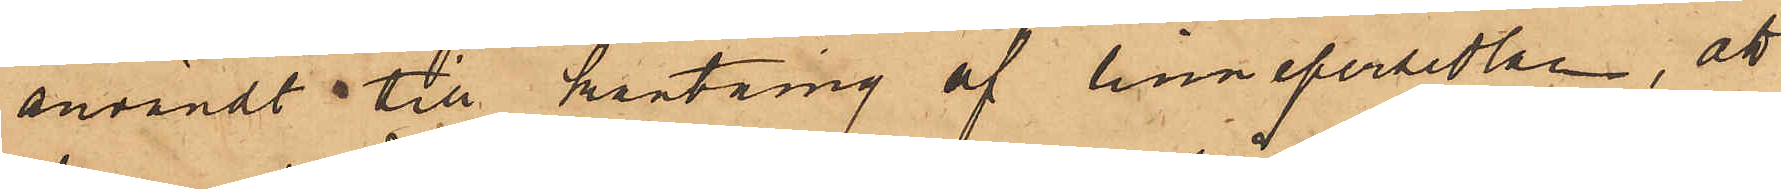användt till kantning af linnepersedlar, att
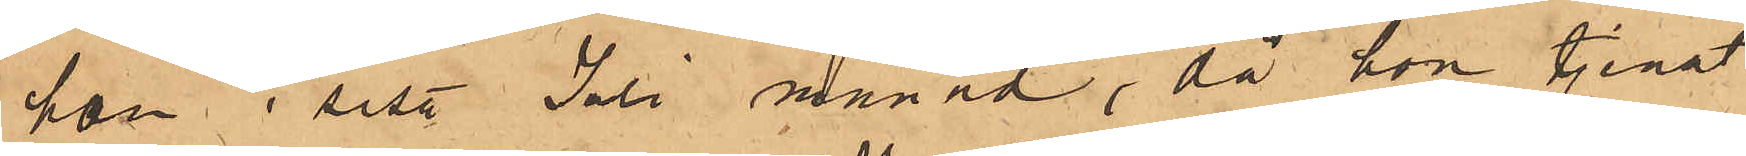hon i sist. Juli månad, då hon tjenat
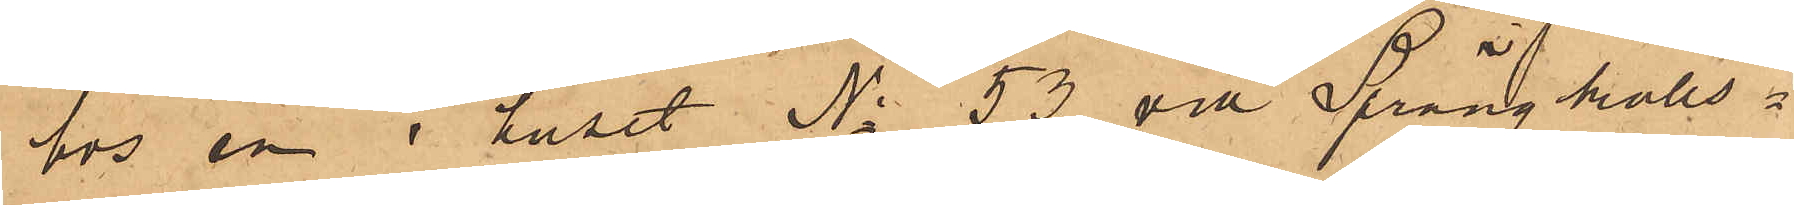hos en i huset No 53 vid Sprängkulls¬
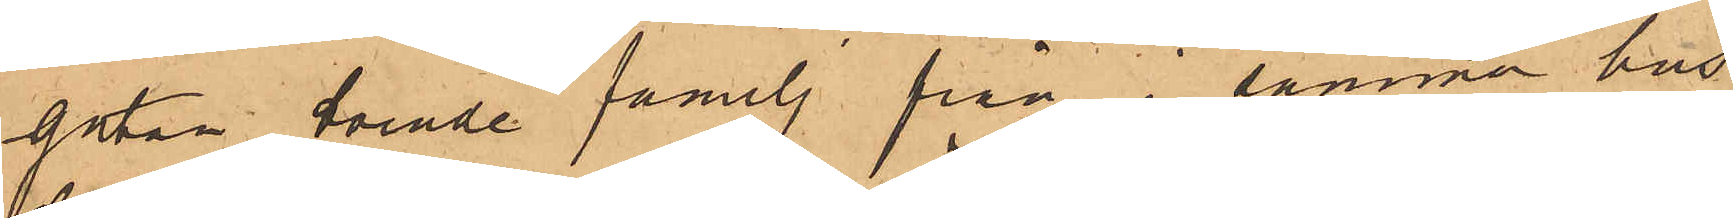gatan boende familj från i samma hus
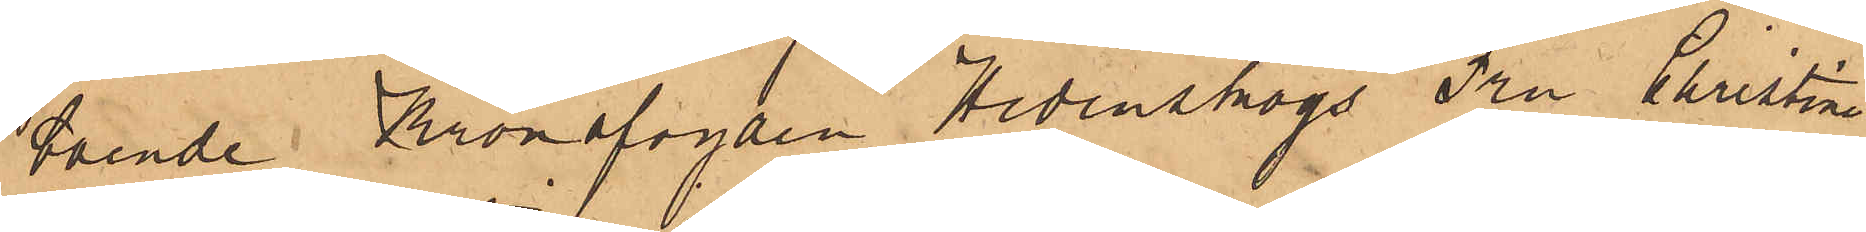boende Kronofogden Hedenskogs Fru Christine
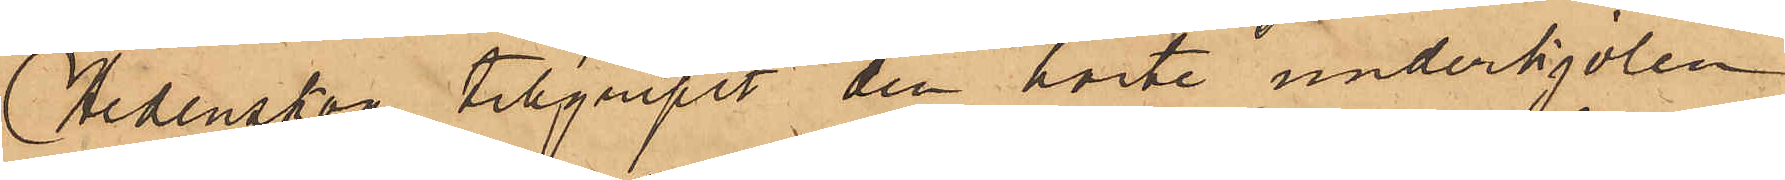Hedenskog tillgripit den hvite underkjolen
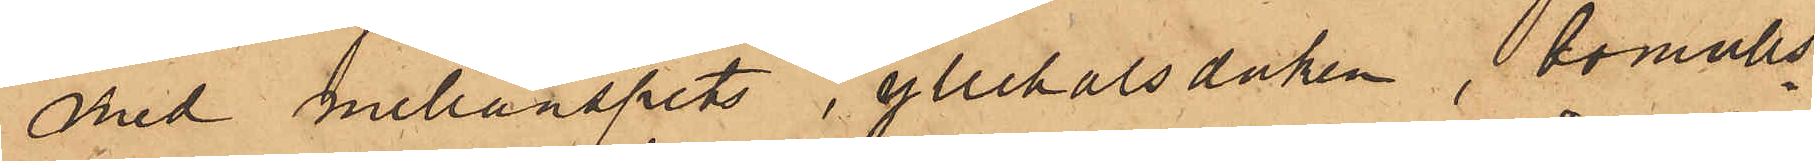med mellanspets, yllehalsduken, bomulls¬
